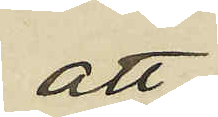att
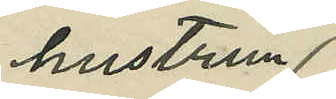hustrun
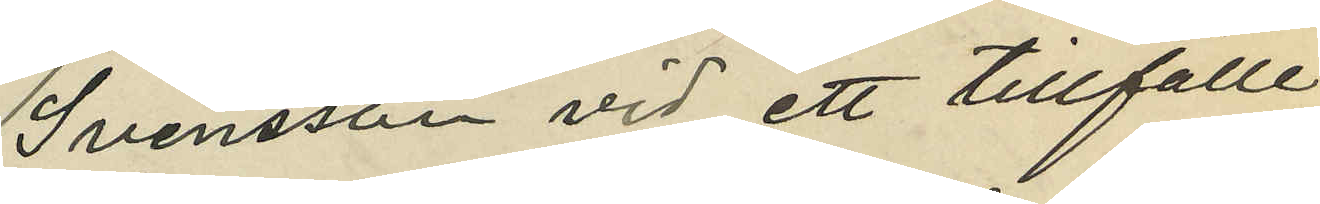Svensson vid ett tillfälle
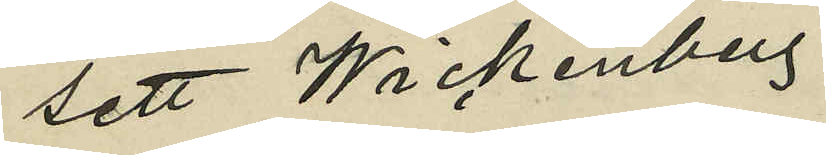sett Wickenberg
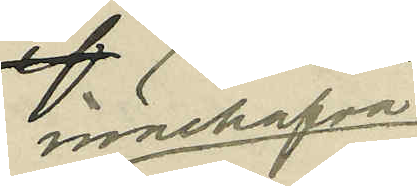innehafva
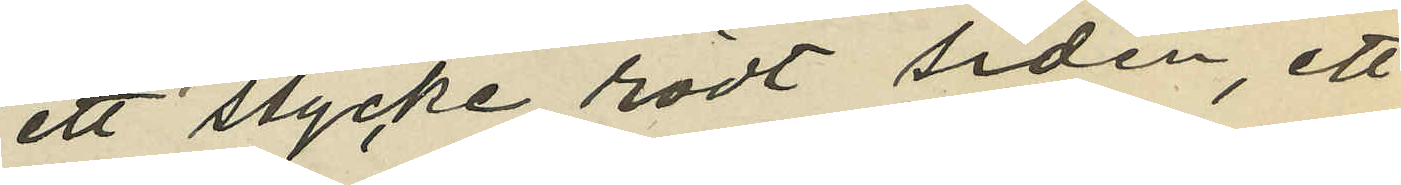ett stycke rödt siden, ett
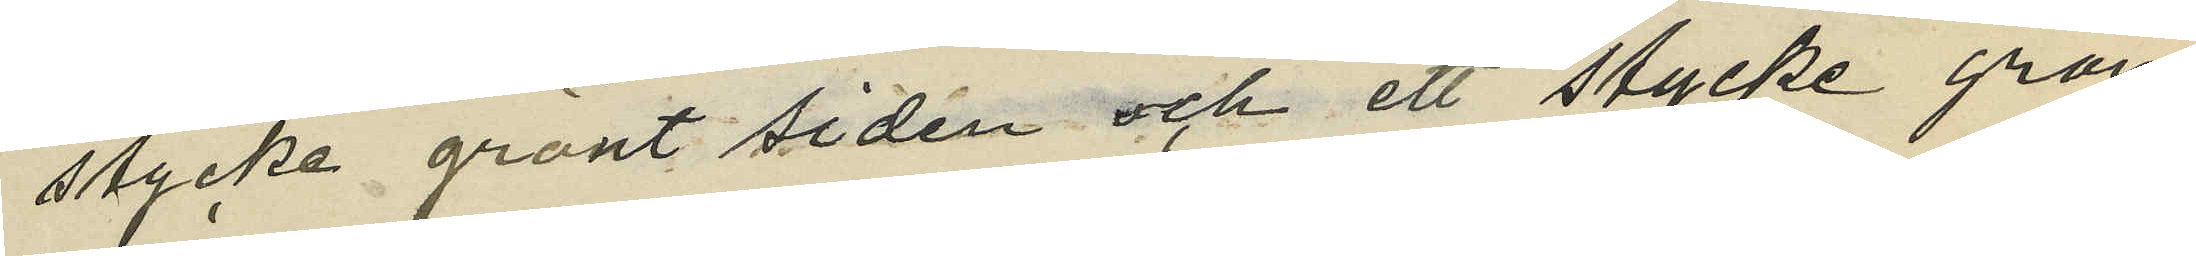stycke grönt siden och ett stycke grön
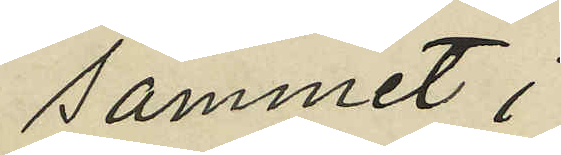sammet;
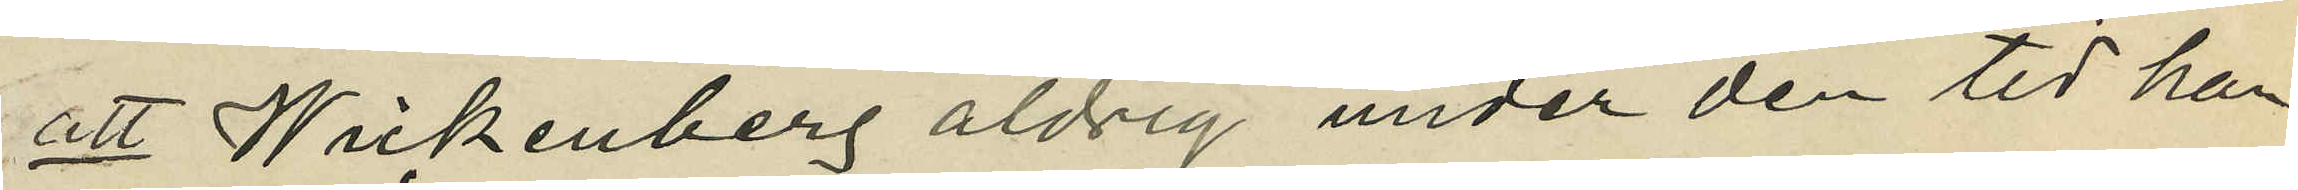att Wickenberg aldrig under den tid han
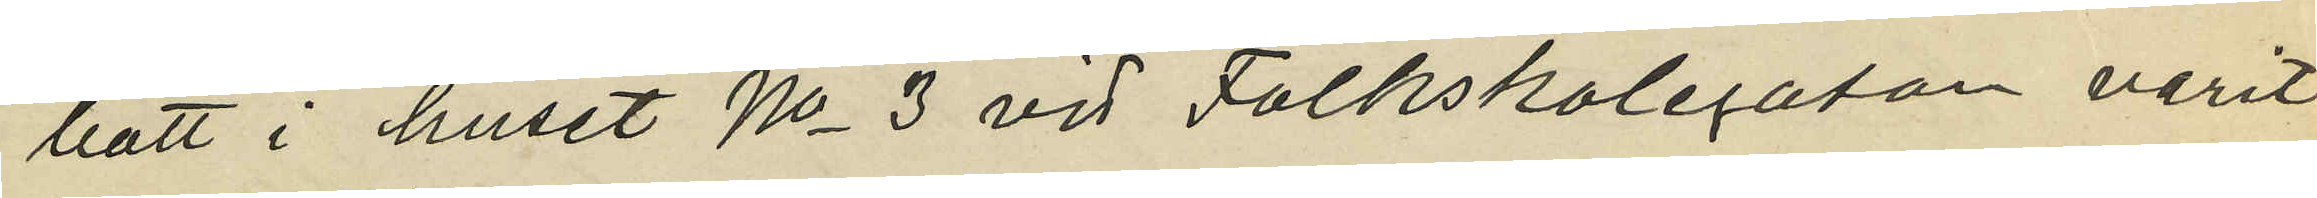bott i huset No 3 vid Folkskolegatan varit
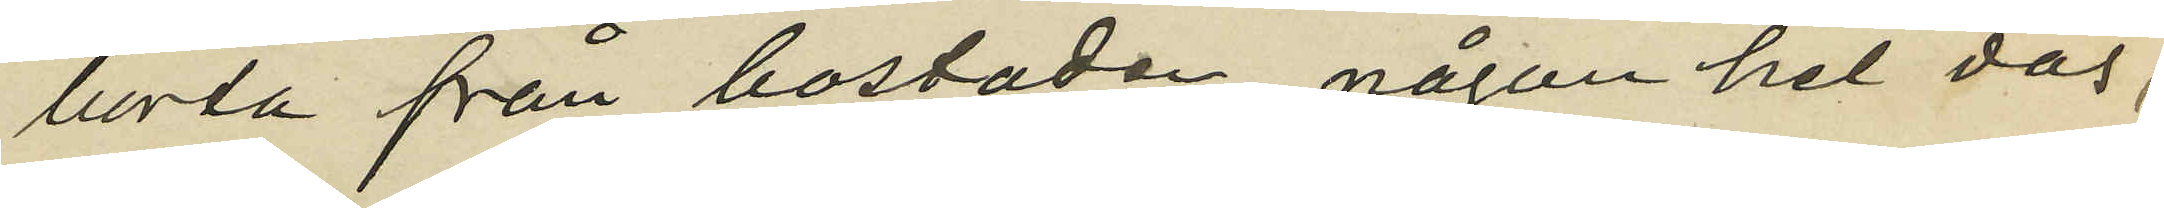borta från bostaden någon hel dag,
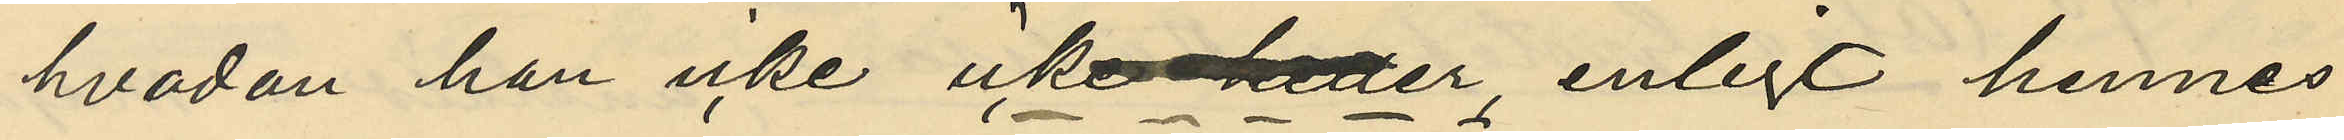hvadan han icke icke heller, enligt hennes
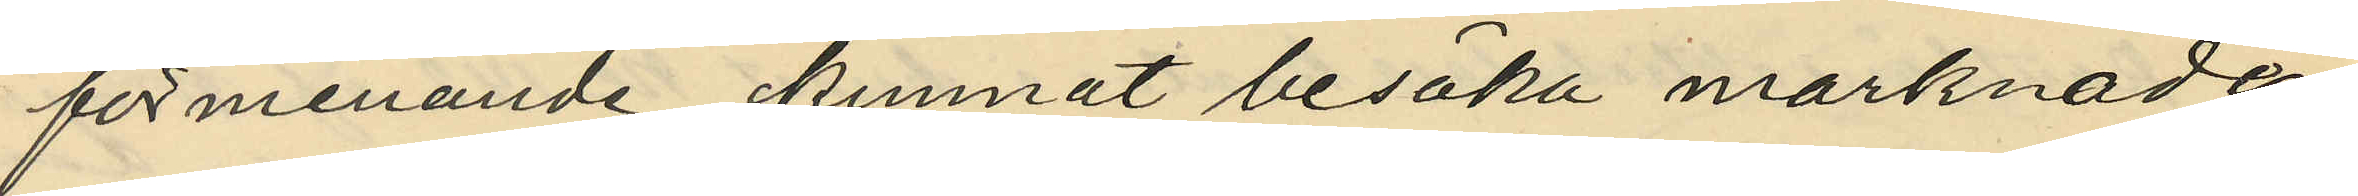förmenande, kunnat besöka marknaden
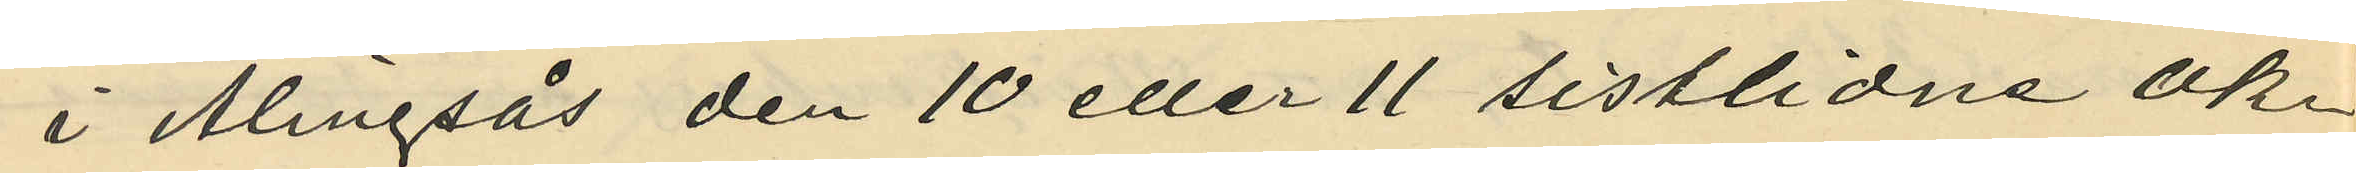i Alingsås den 10 eller 11 sistlidne ok¬
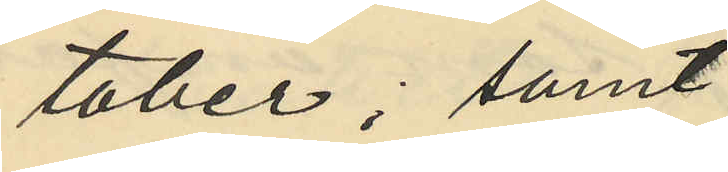tober; samt
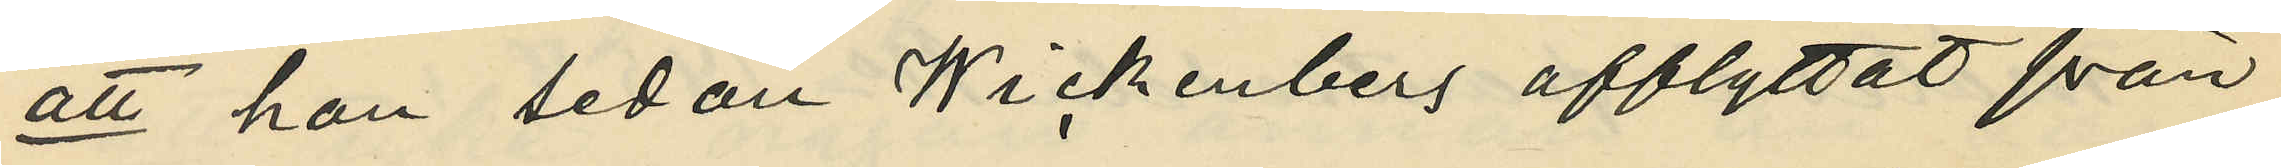att hon sedan Wickenberg afflyttat från
